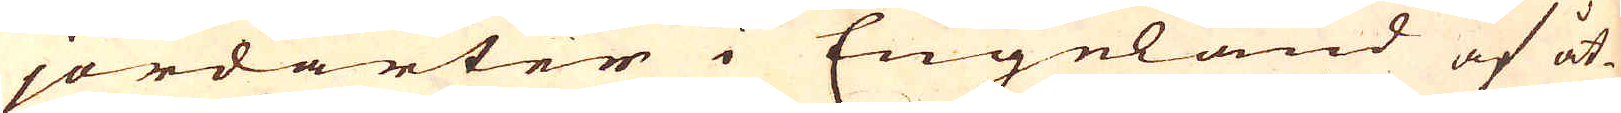jordarter i Engeland af åt-
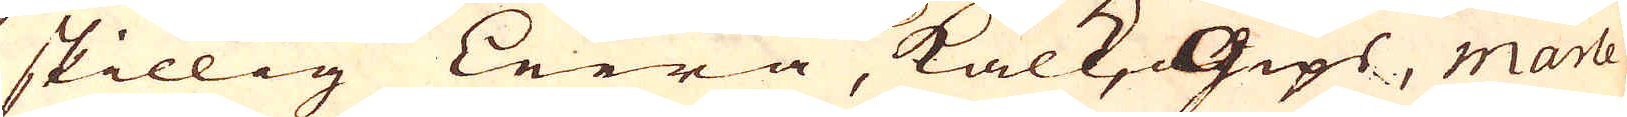skillig Leera, Kalk, Gips, Marle,
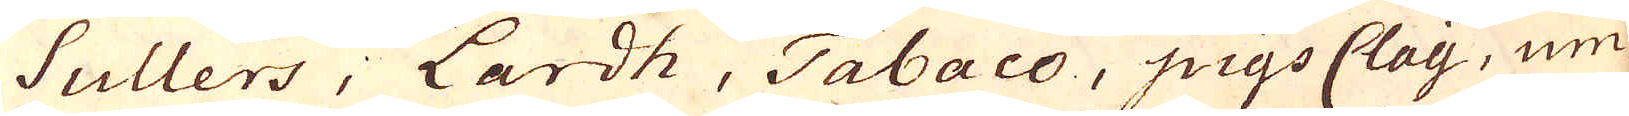Sullers, Lardh, Tabaco, pigs Clay, um-
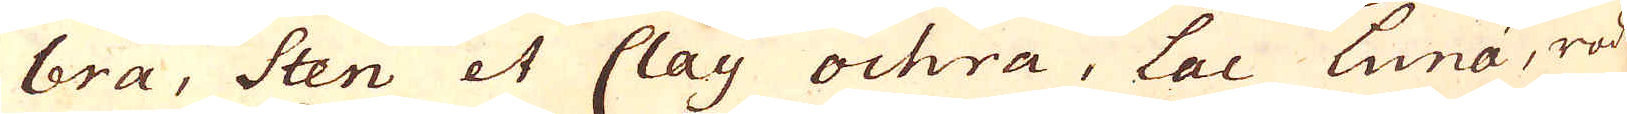bra, Sten et Clay ochra, Lac Luna, röd
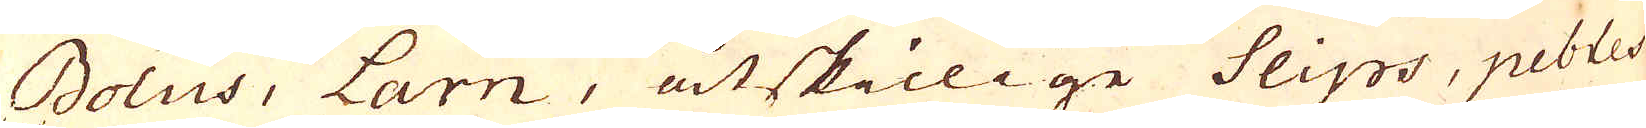Bolus, Larn, åtskillige Slips, pebles
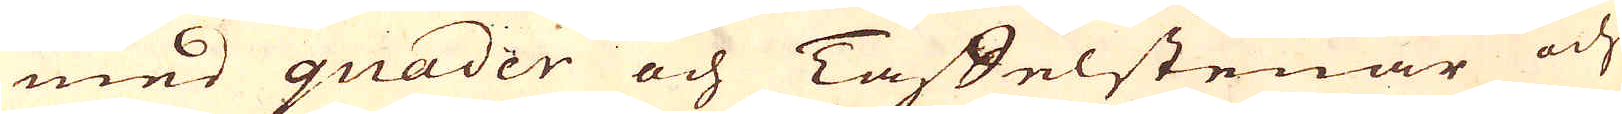med quader och Taffelstenar och
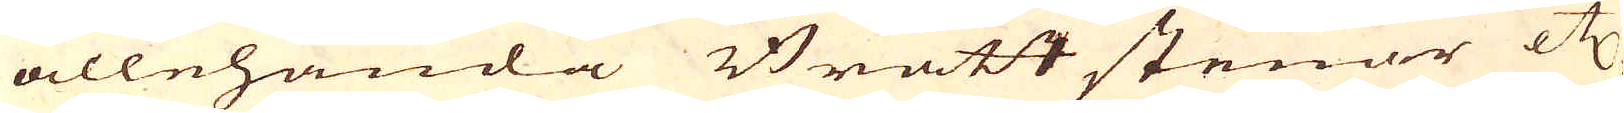allehanda Brått stenar etc,
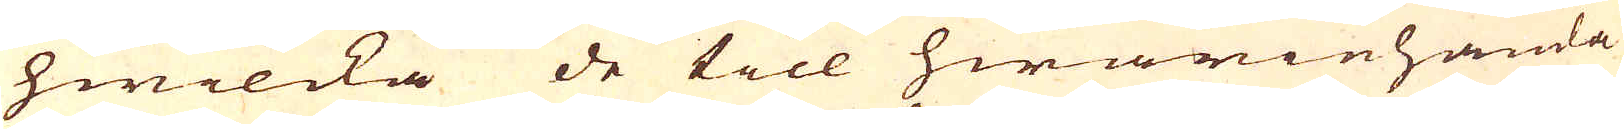hwilcka de till hwariehanda
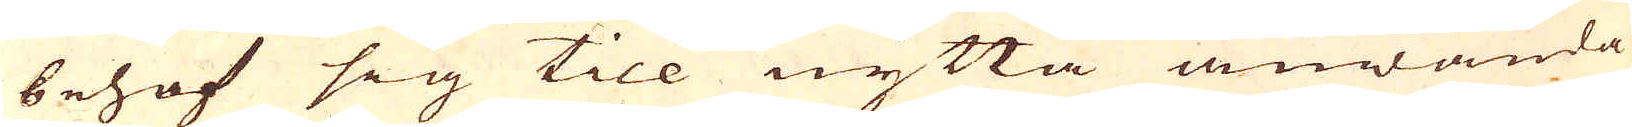behof sig till nytta anwända
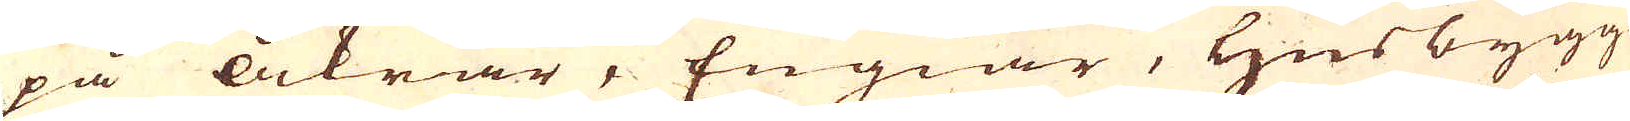på åkrar, Engiar, Husbygg-
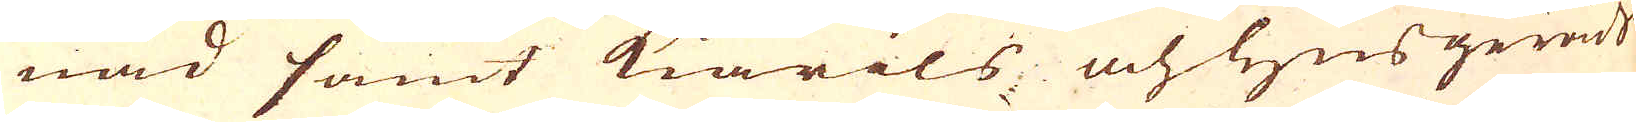nad samt Kiärils och husgeråds
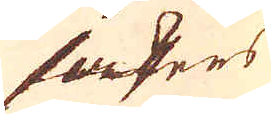sakers
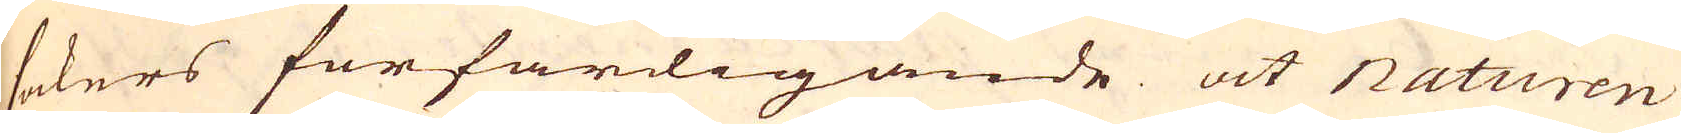sakers förfärdigande at Naturen
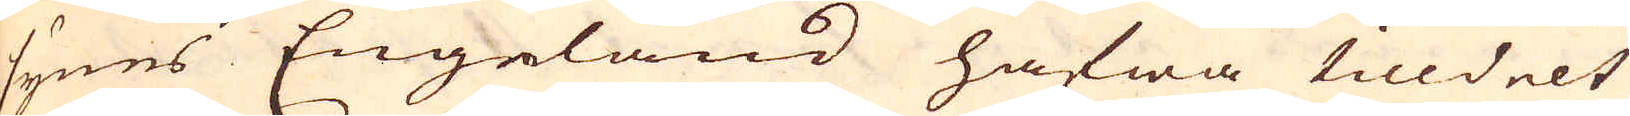synes Engeland hafwa tilldelt
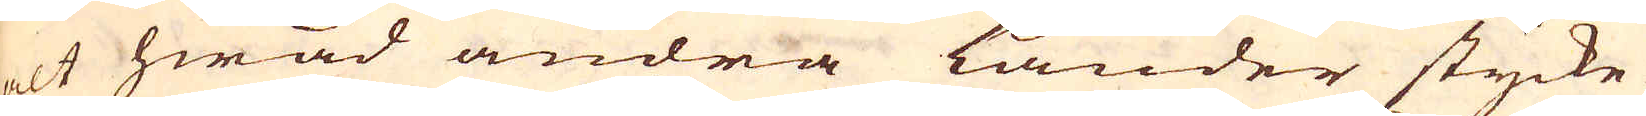alt hwad andra Länder stycke-
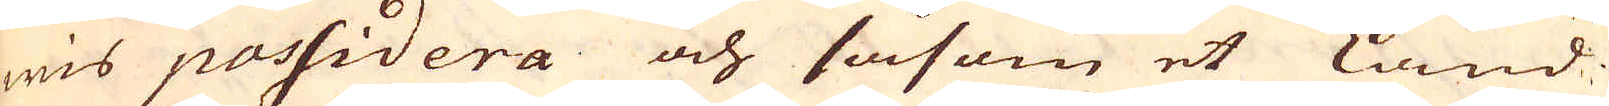wis possidera och såsom et Land
